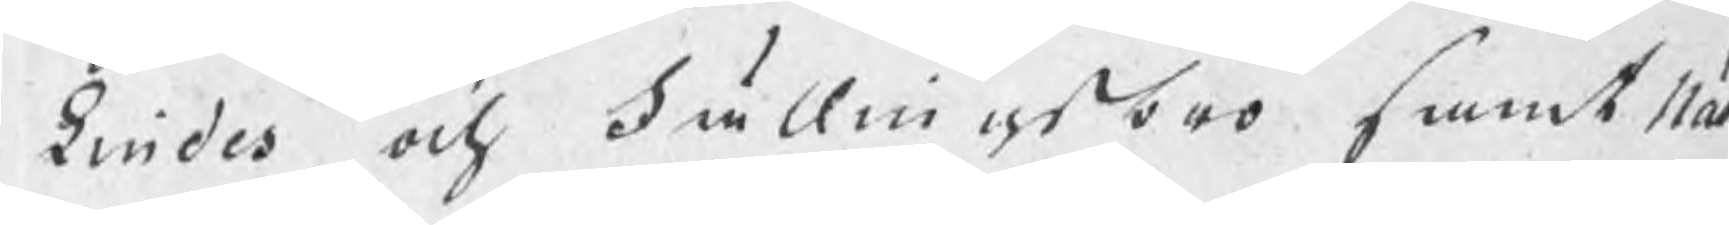Lindes och Fällingsbro samt Näs¬
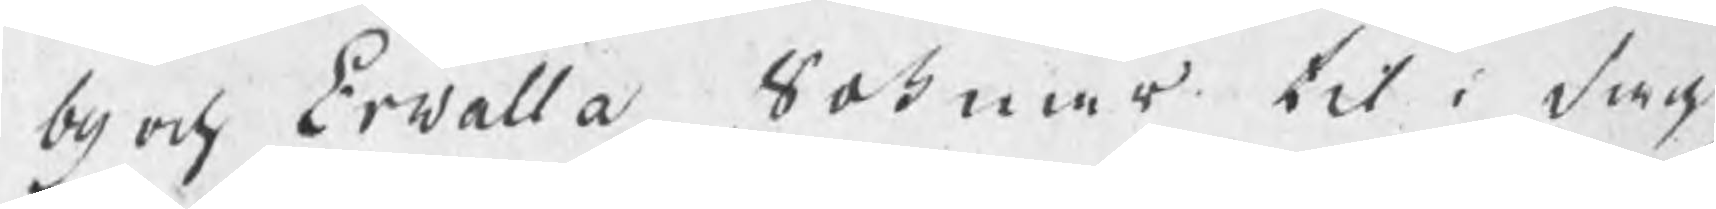by och Erwalla Soknar til i dag
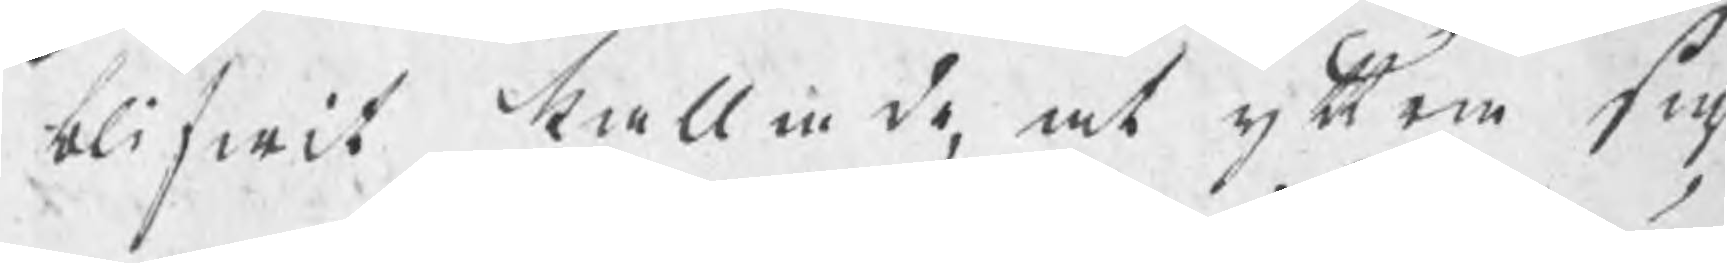blifwit kallade, at yttra sig
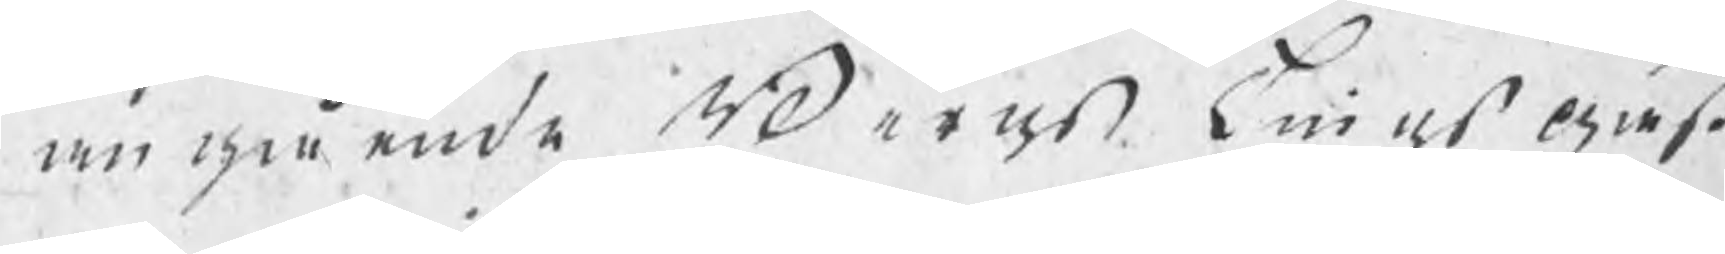angående BergsTings gäst¬
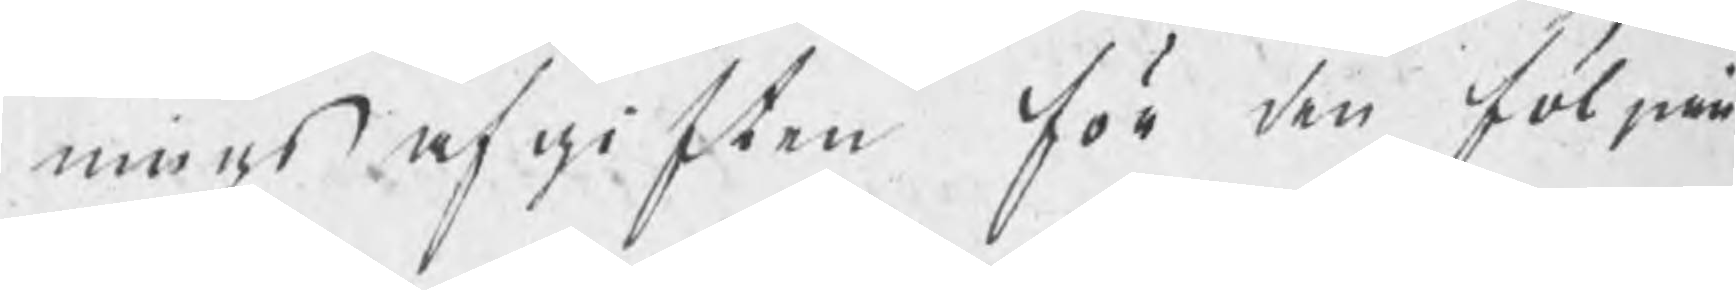ningsafgiften för den följan¬
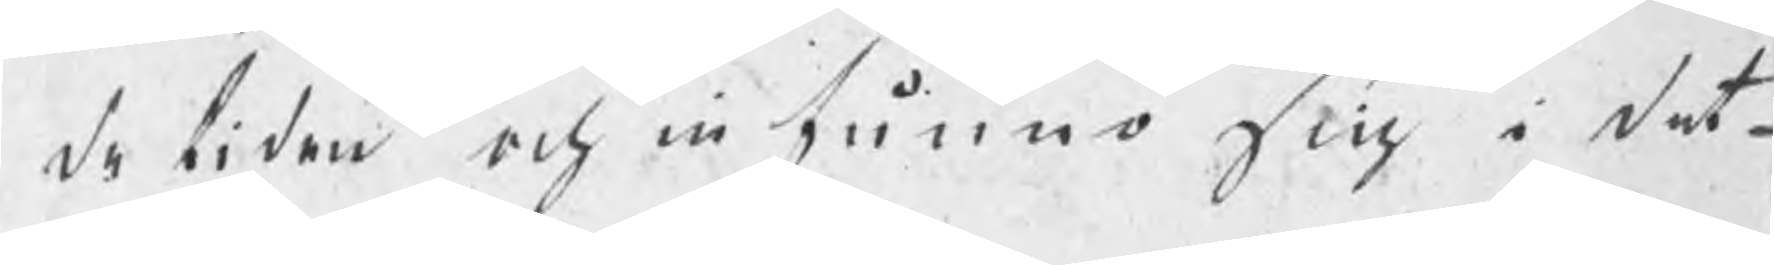de tiden och infunno sig i det¬
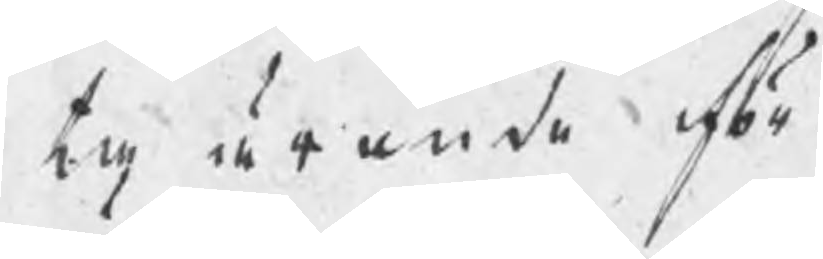ta ärende för
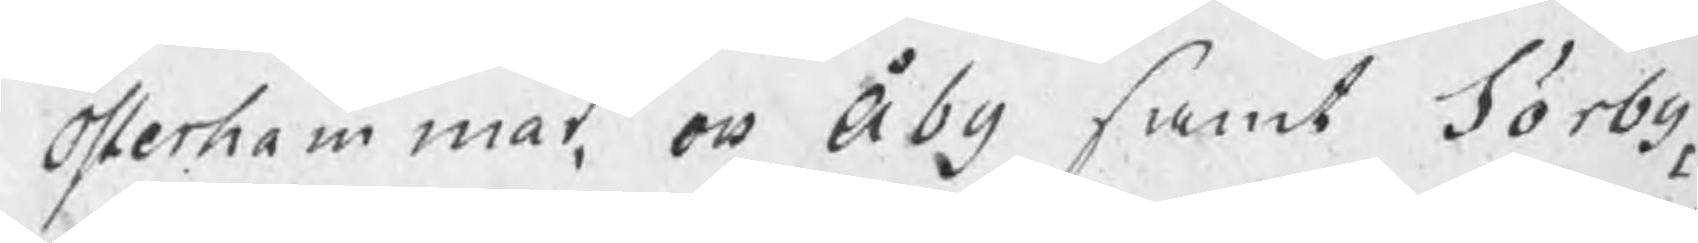Österhammar och Åby samt Sörby
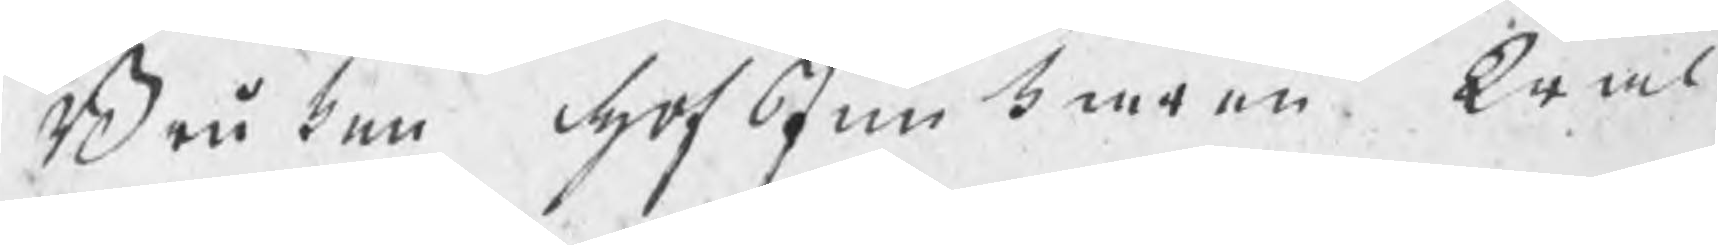Bruken hofJunkaren Wäl¬
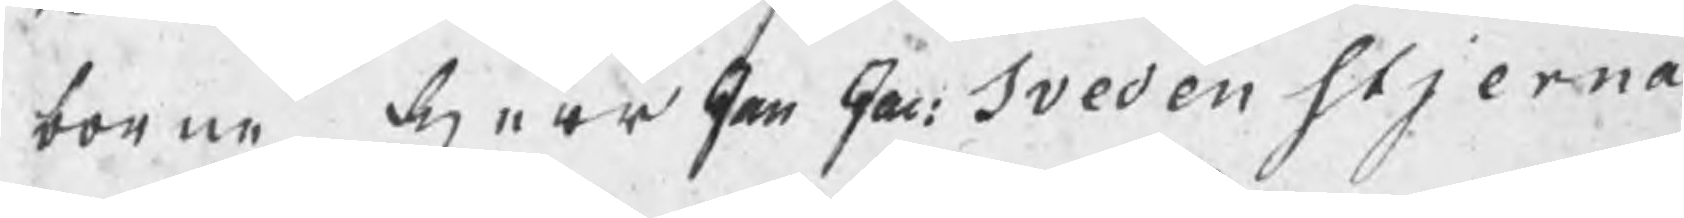borne herr Jan Jac: Svedenstjerna
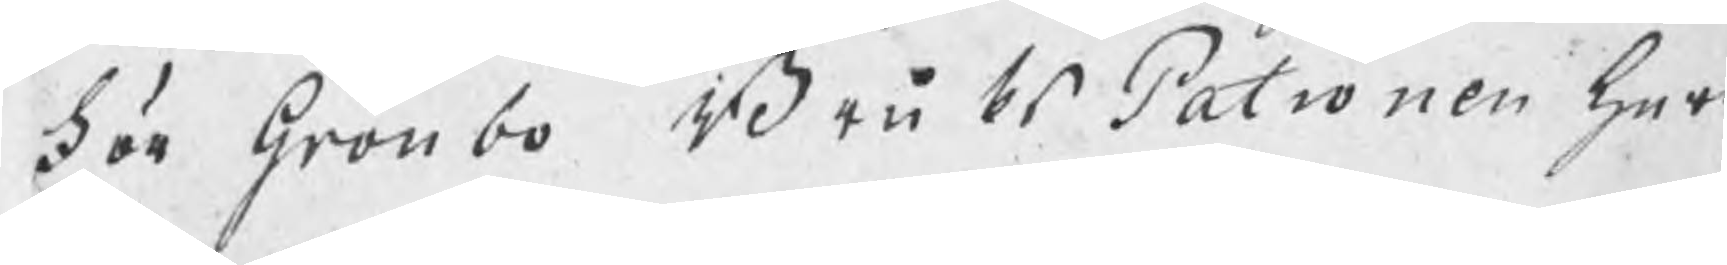För Grönbo BruksPatronen herr
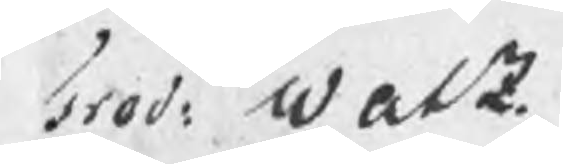Fred: Walz.
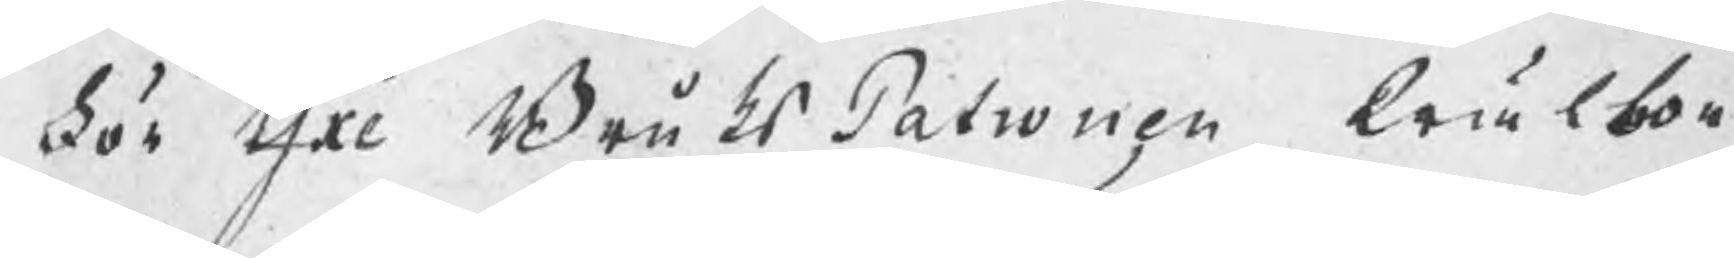För Yxe BruksPatronen Wälbor¬
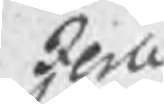Jerle
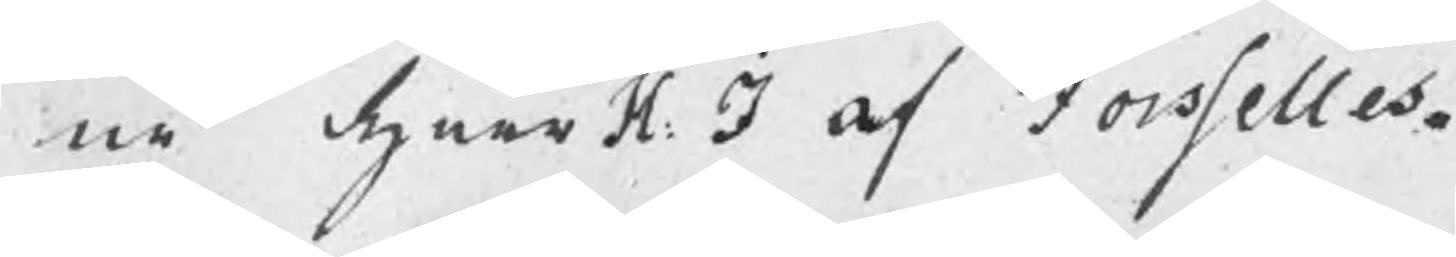ne herr H: J af Forselles.
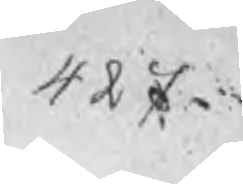427.
